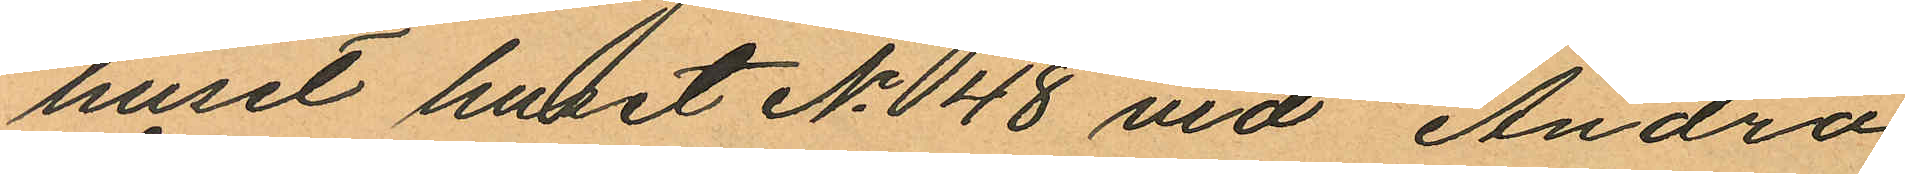huset huset No 48 vid Andra
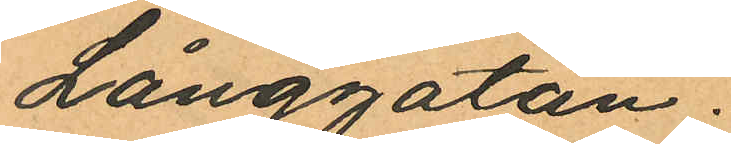Långgatan.
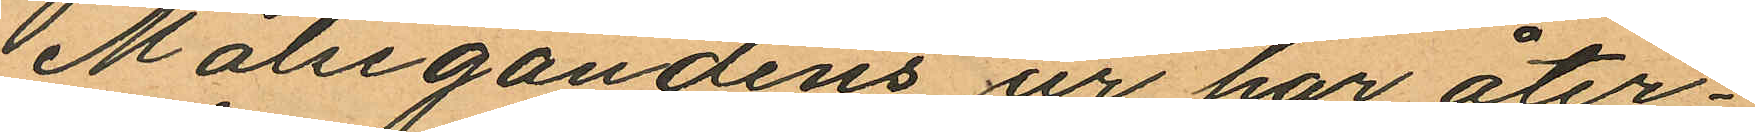Målsegandens ur har åter¬
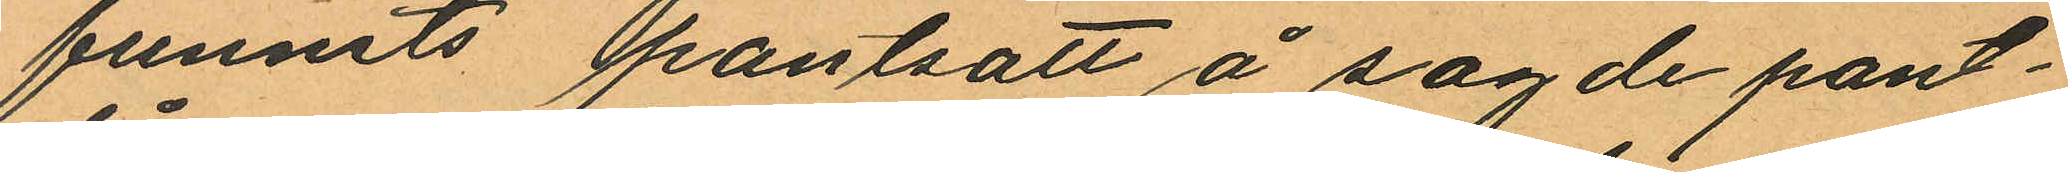funnits pantsatt å sagde pant¬
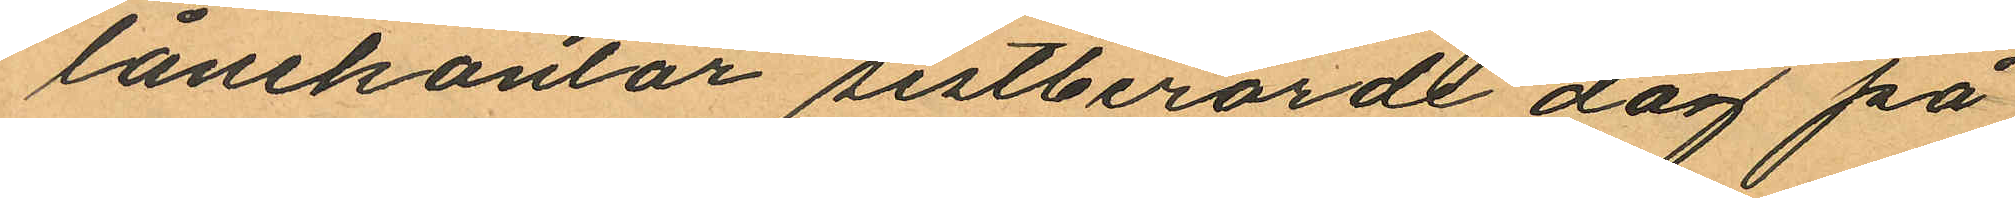lånekontor sistberörde dag på
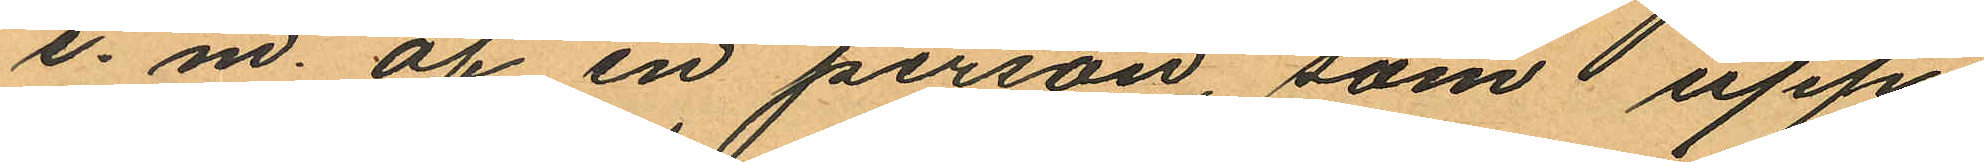e. m. af en person, som upp¬
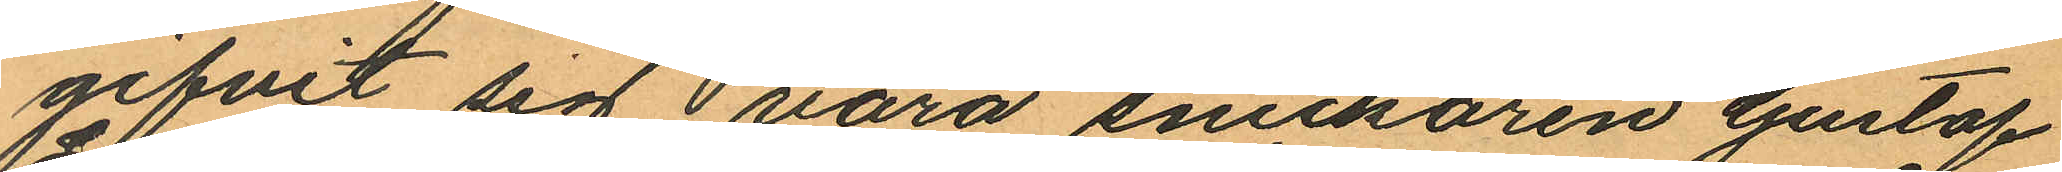gifvit sig i vara snickaren Gustaf
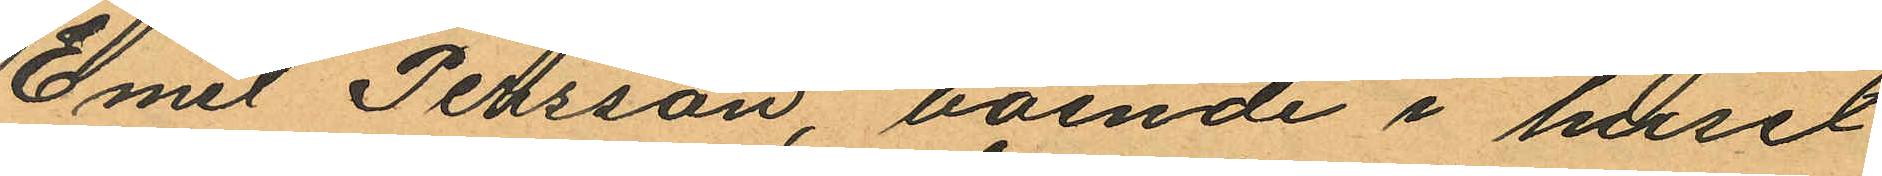Emil Persson, boende i huset
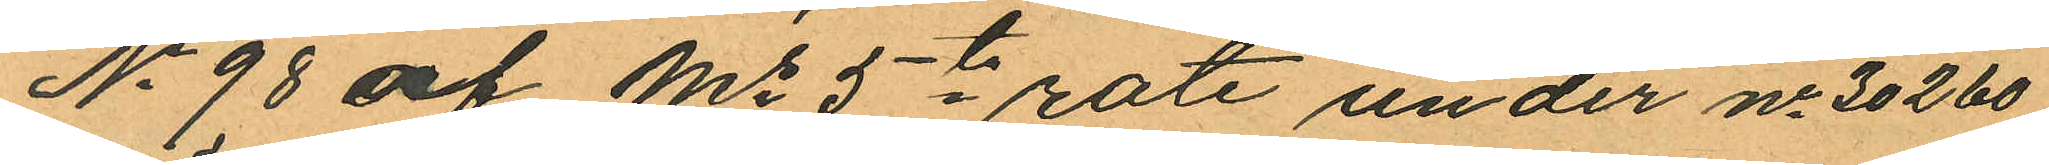No 98 af Ms 5te rote under no 30260
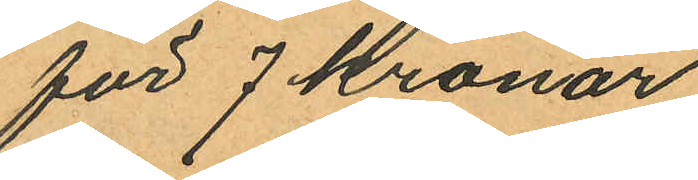för 7 Kronor.
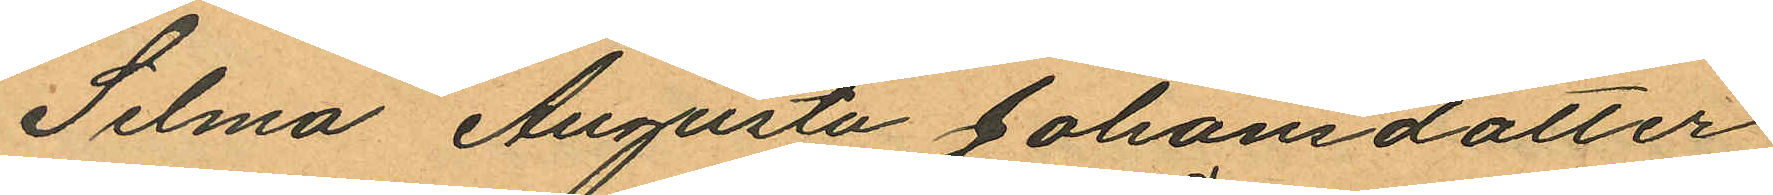Selma Augusta Johansdotter
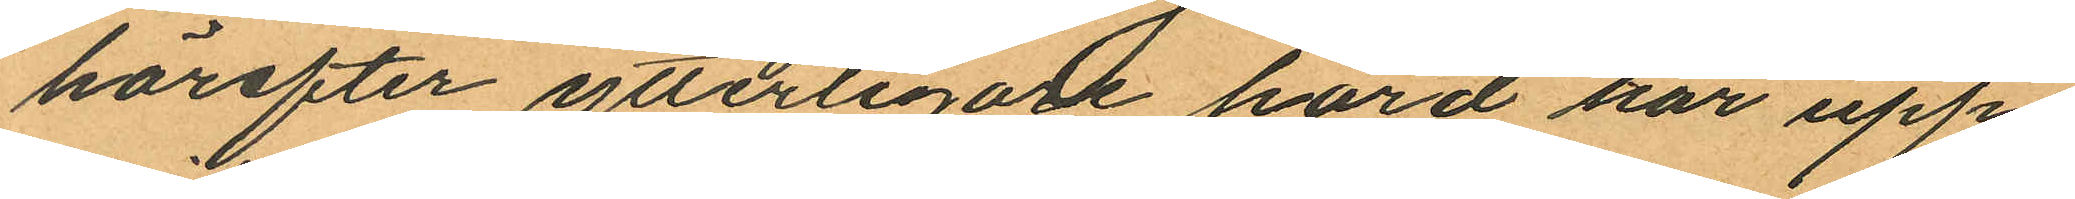härefter ytterligare hörd har upp¬
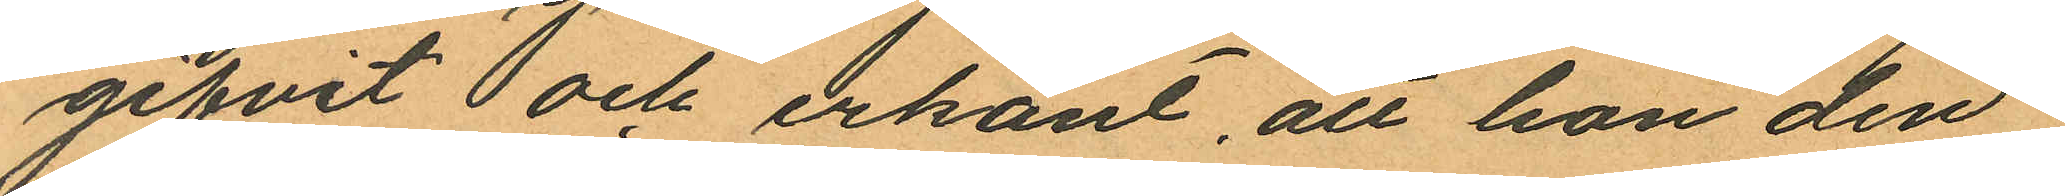gifvit och erkänt, att hon den
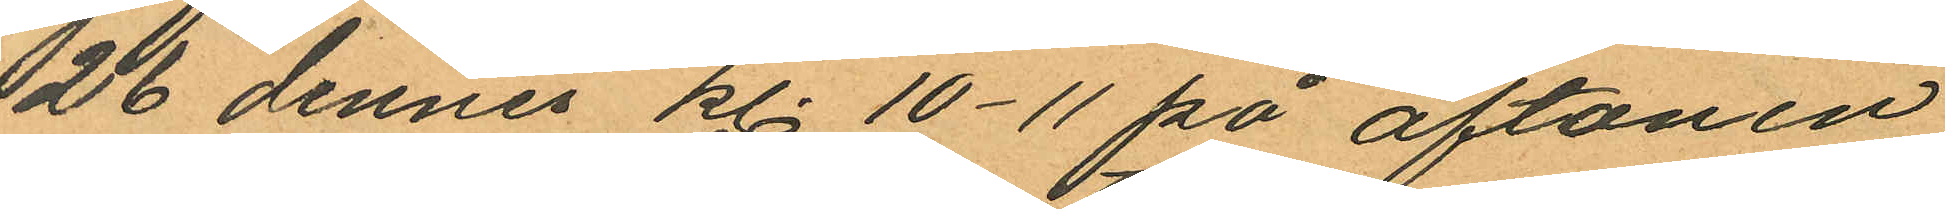26 dennes kl. 10-11 på aftonen
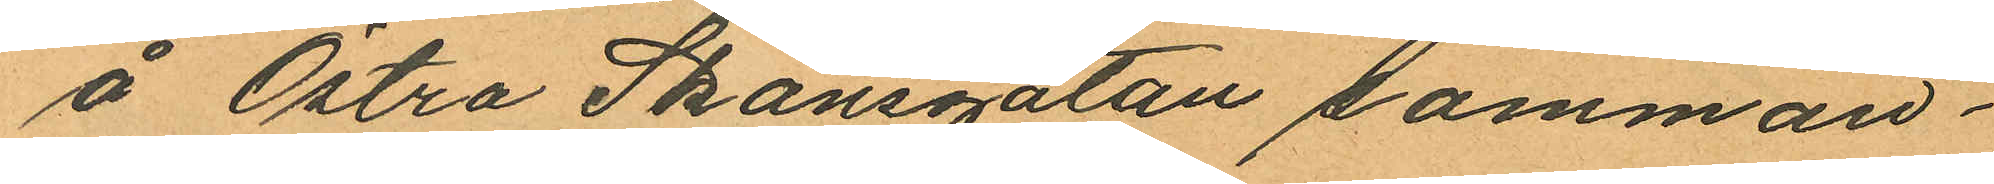å Östra Skansgatan samman¬
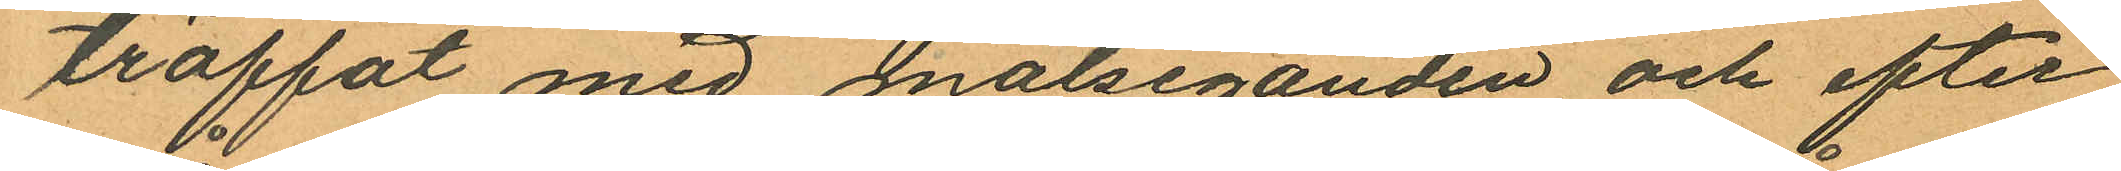träffat med målseganden, och efter
